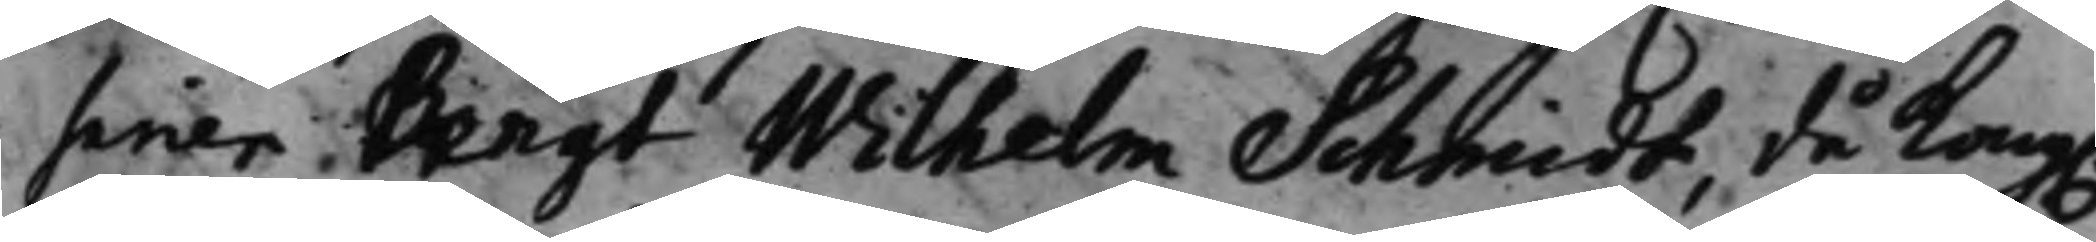sarien Bengt Wilhelm Schmidt, då Kong.
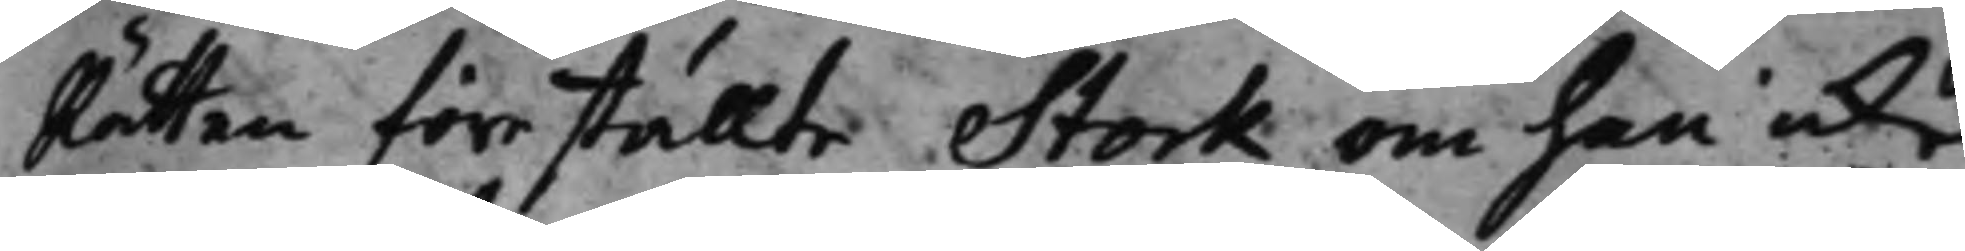Rätten föreställte Stork om han icke
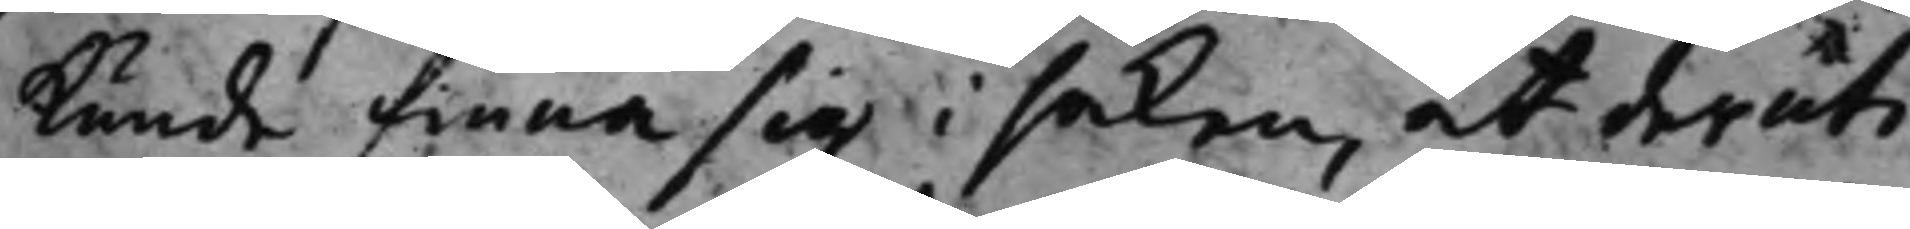kunde finna sig i saken, at deruti
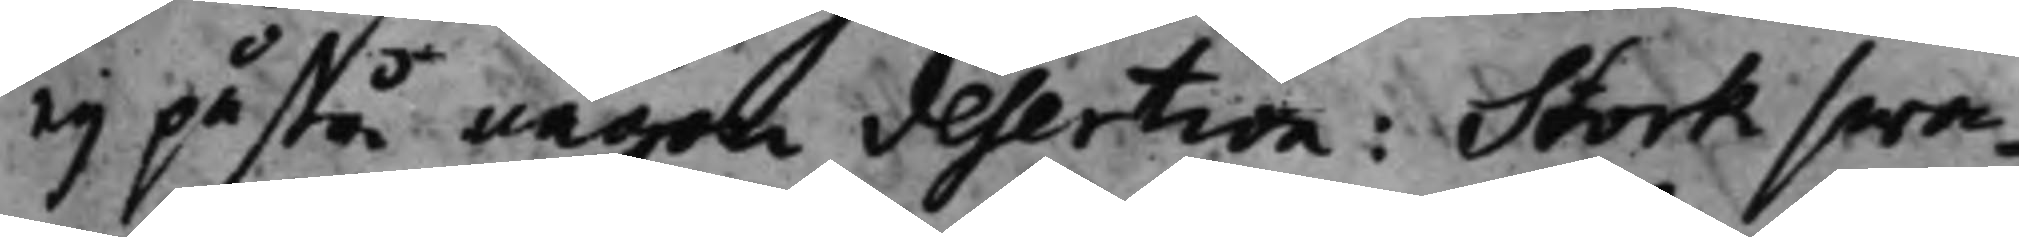eij påstå någon desertion: Stork swa¬
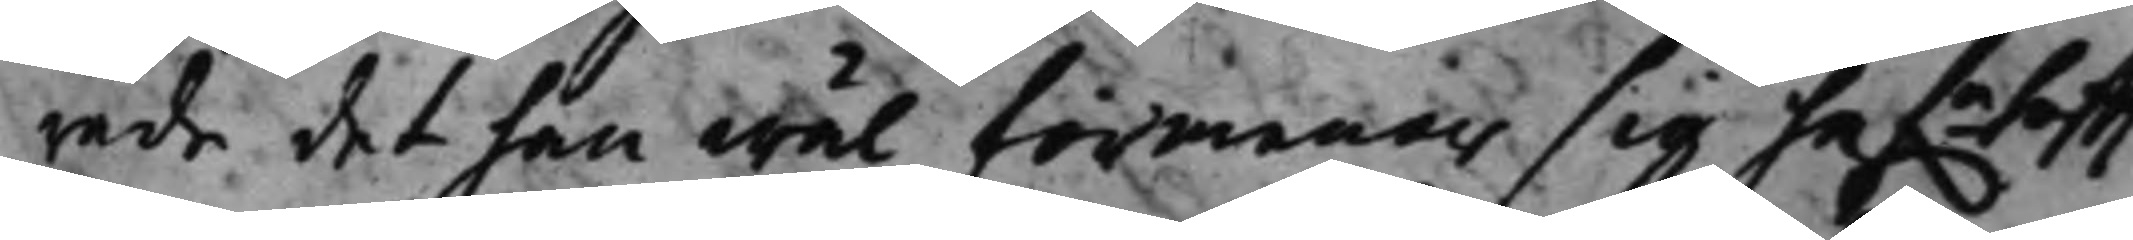rade det han wäl förmenar sig haf:a sett
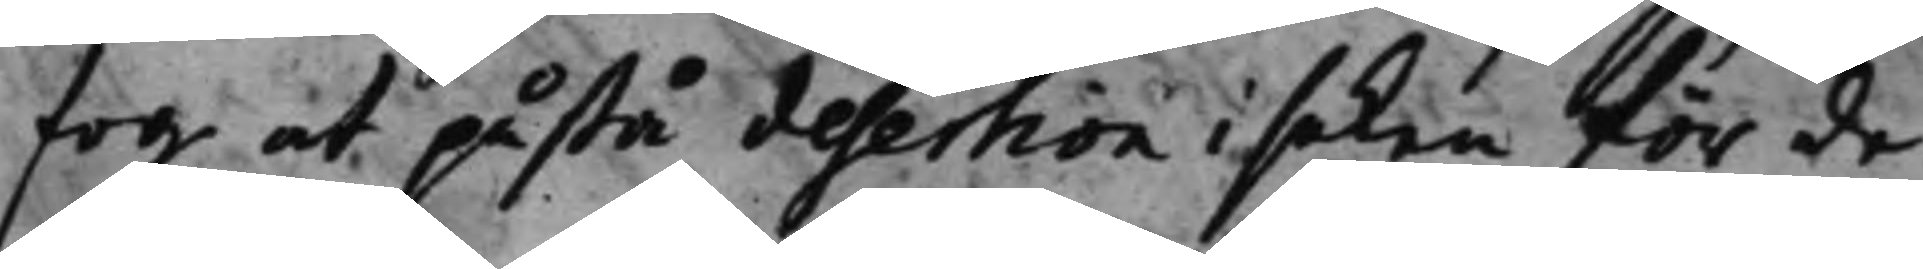fog at påstå desertion i saken för de
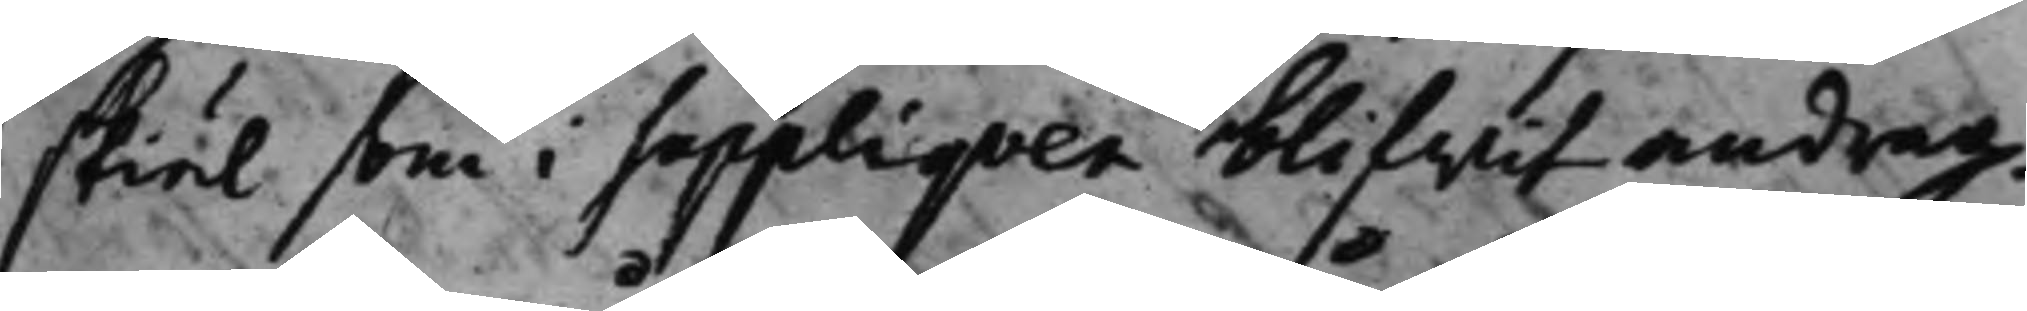skiäl som i Suppliqven blifwit andrag¬
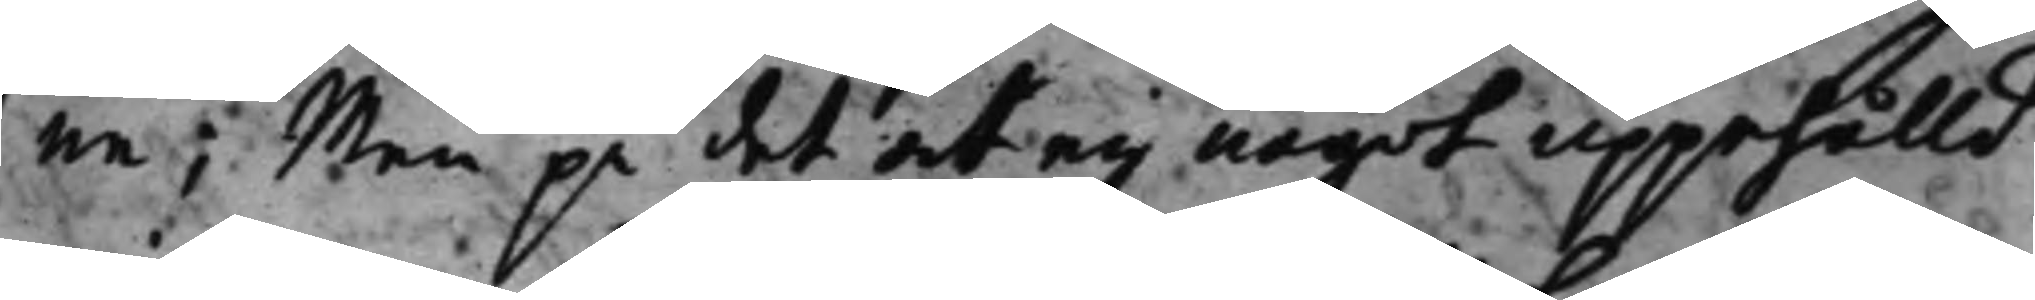ne; Men på det at eij något uppehålld
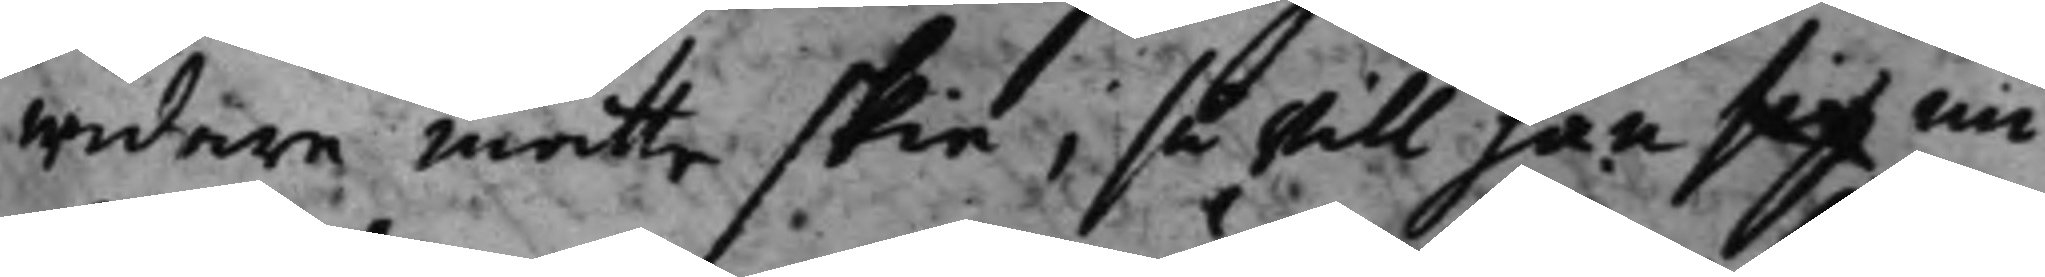widare måtte skie; så will han sig nu
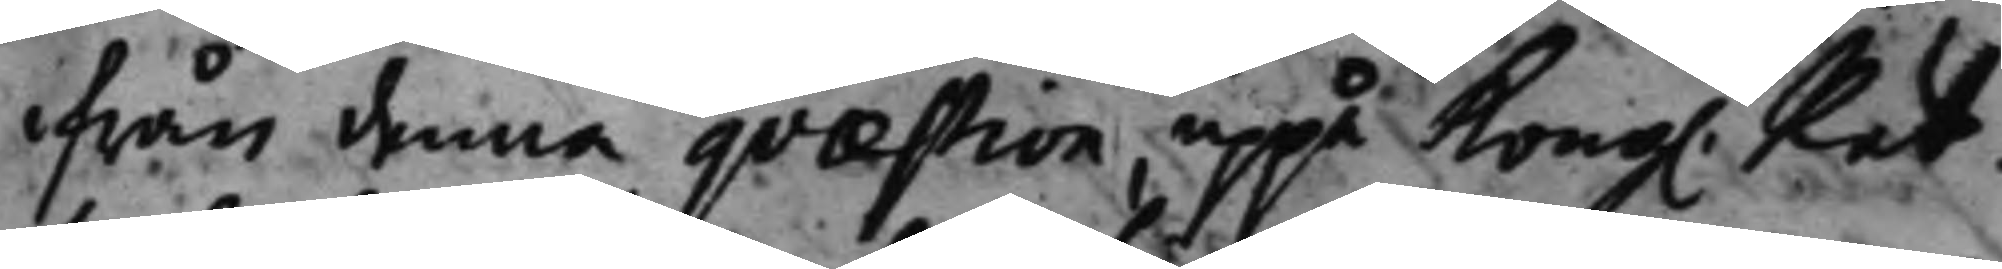ifrån denna quæstion uppå Kong. Rät¬
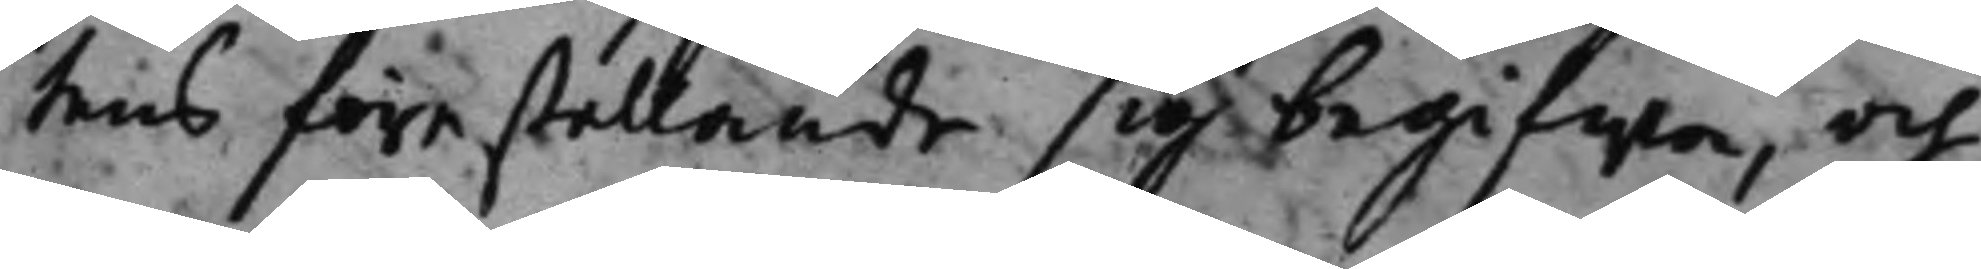tens föreställande sig begifwa, och
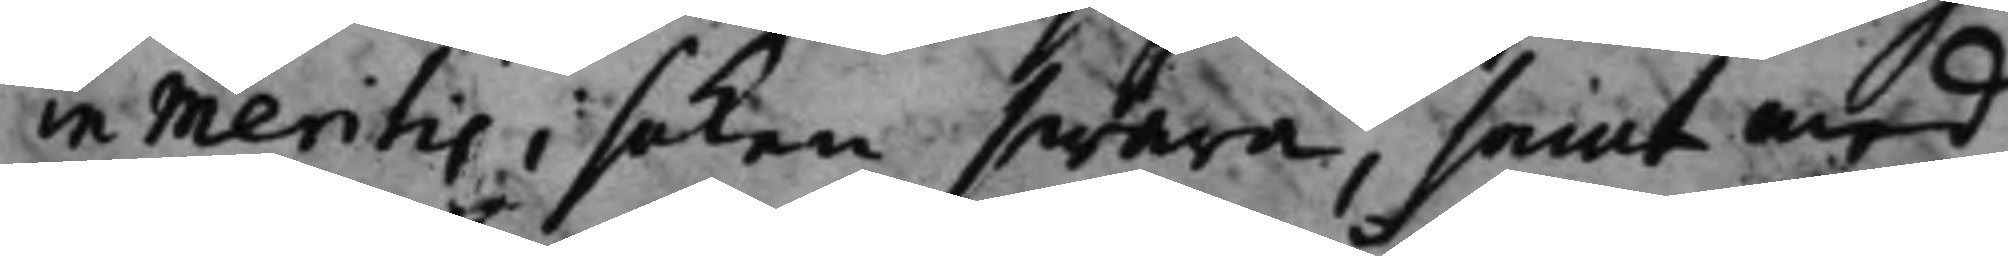in Meritis i saken swara, samt med
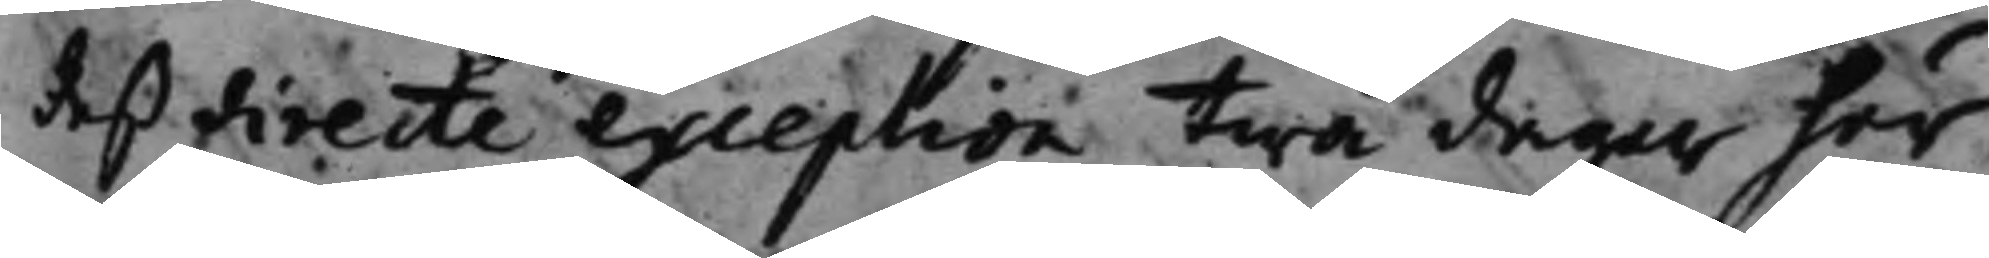deß directe exception twå dagar här¬
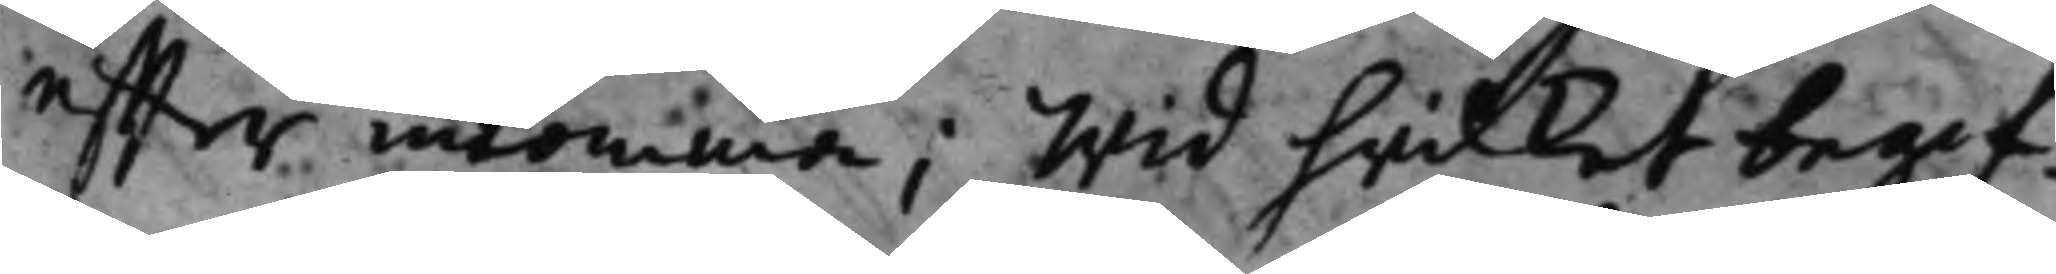effter inkomma; Wid hwilket begif¬
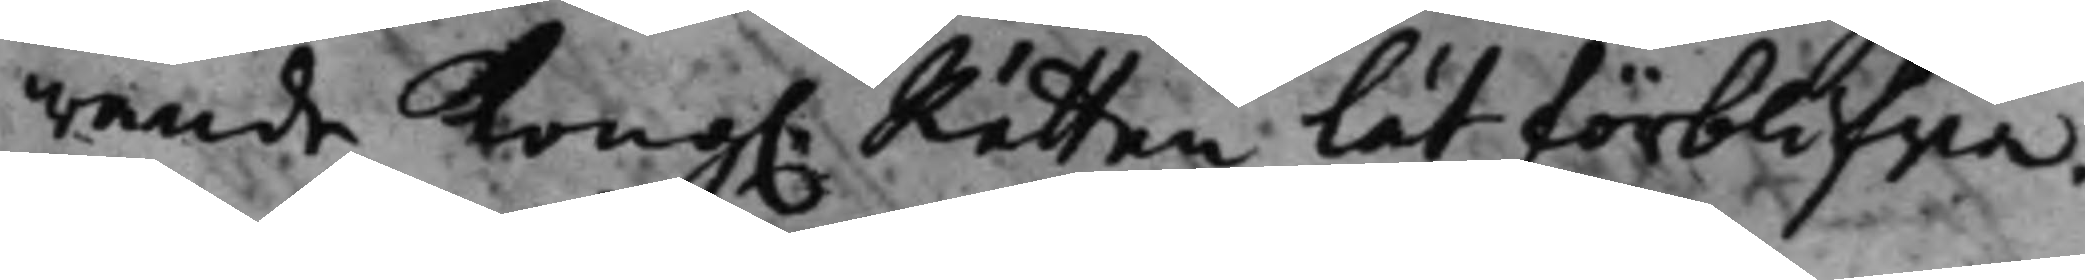wande Kong. Rätten lät förblifwa.
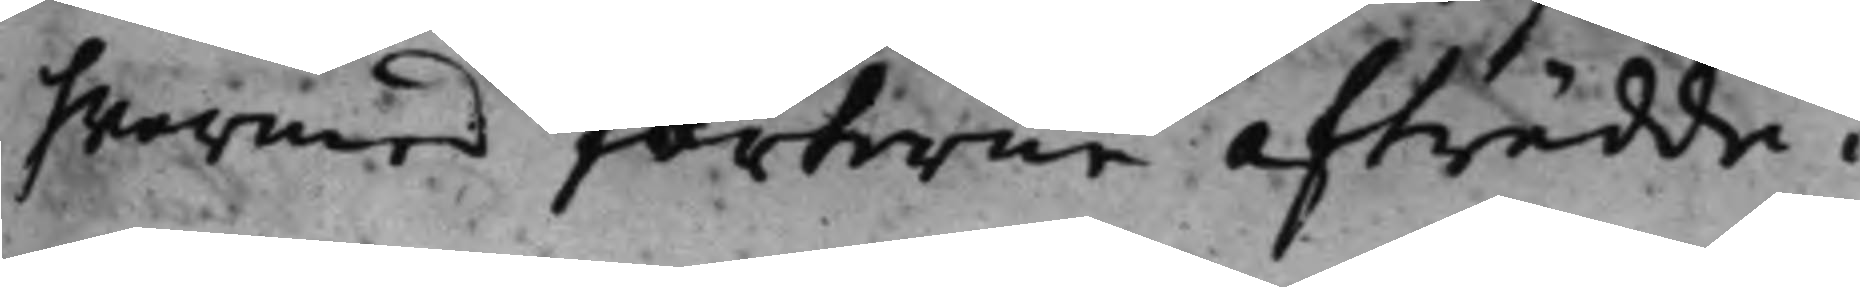hwarmed parterne afträdde.
